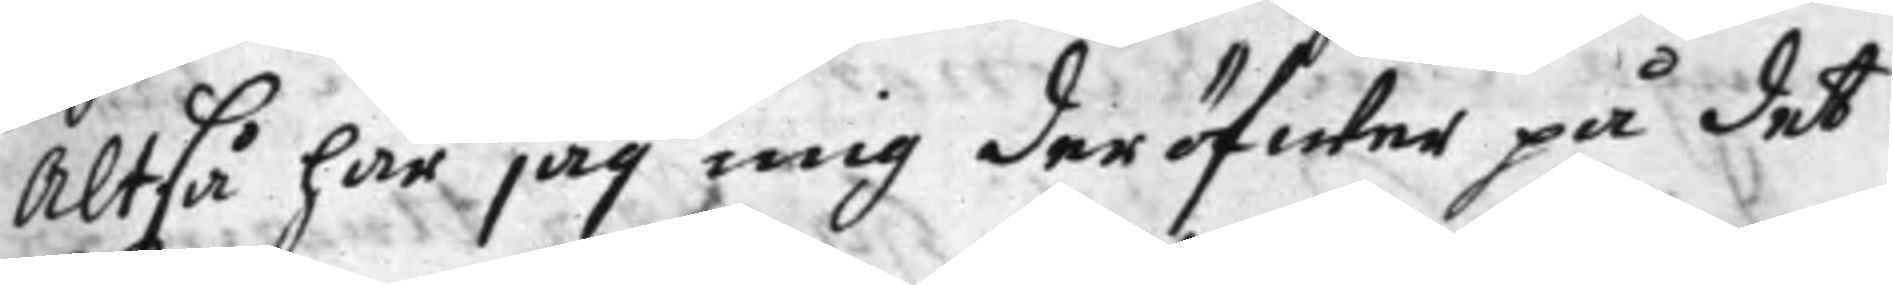Altså har jag mig deröfwer på det
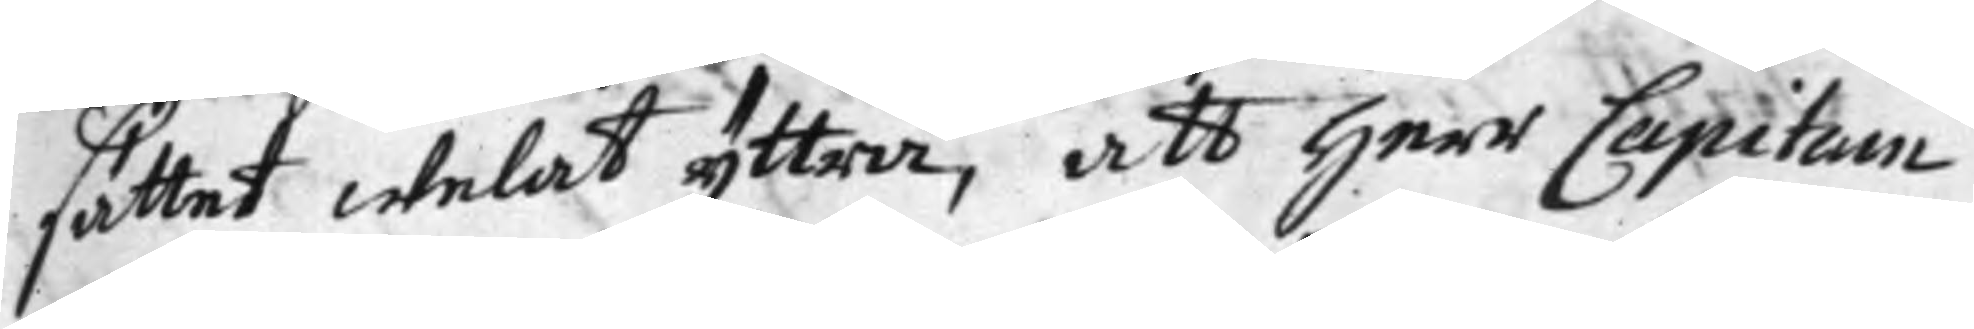sättet welat yttra, att Herr Capitain
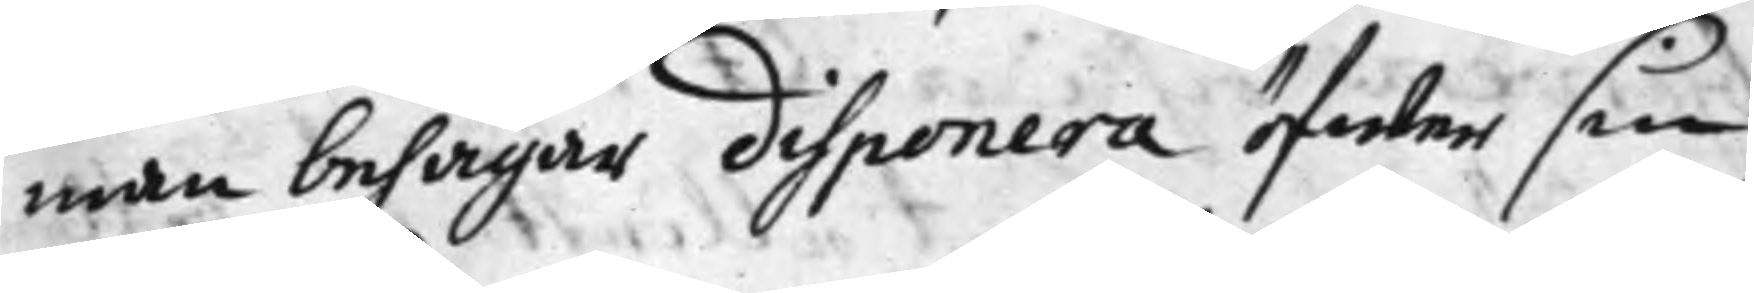man behagar disponera öfwer sin
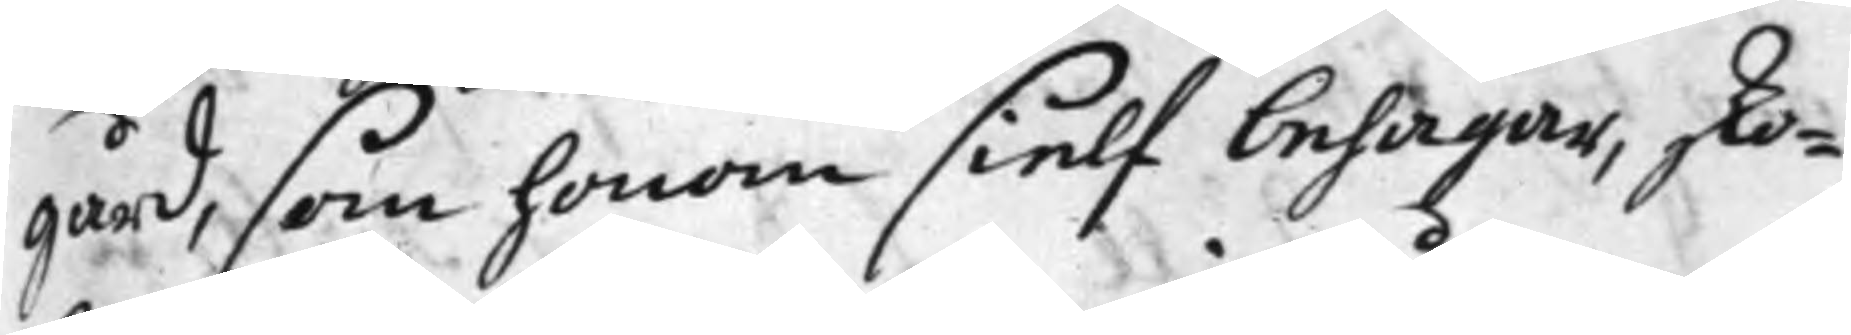gård, som honom sielf behagar, sko¬
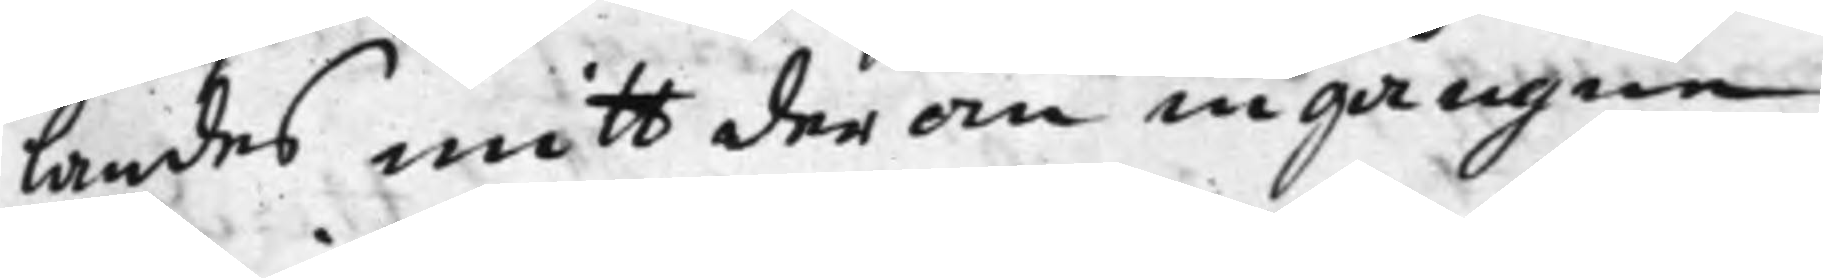landes mitt der om ingångne
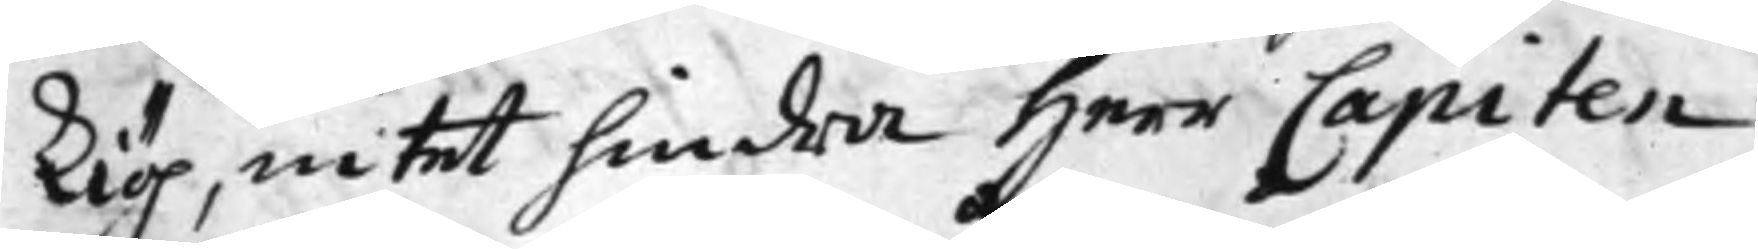kiöp, intet hindra Herr Capiten
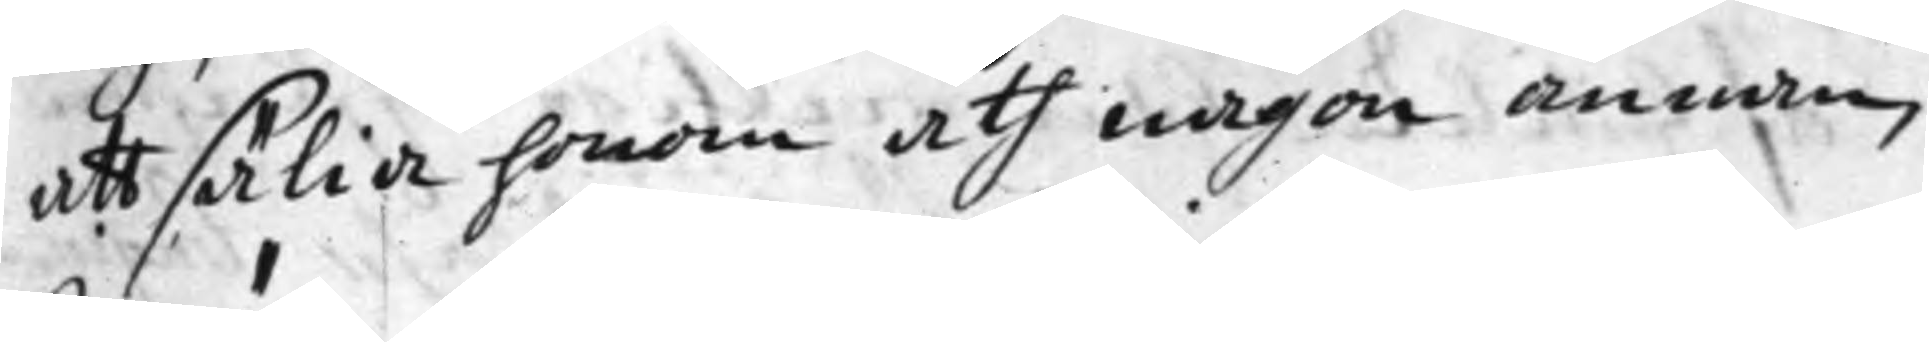att sälia honom åth någon annan
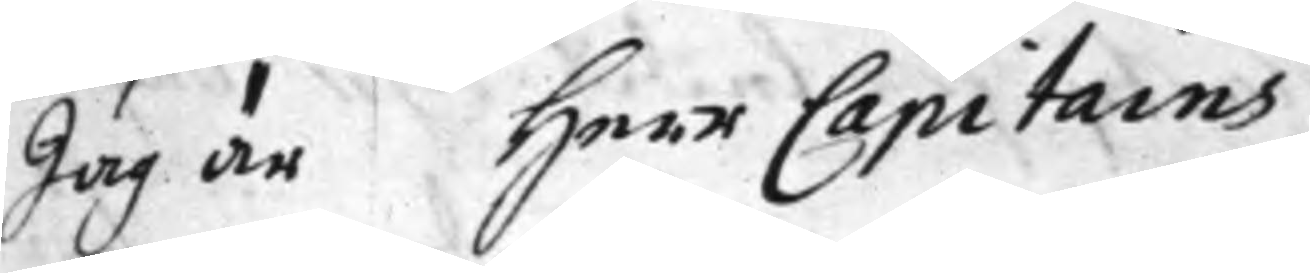Jag är Herr Capitains
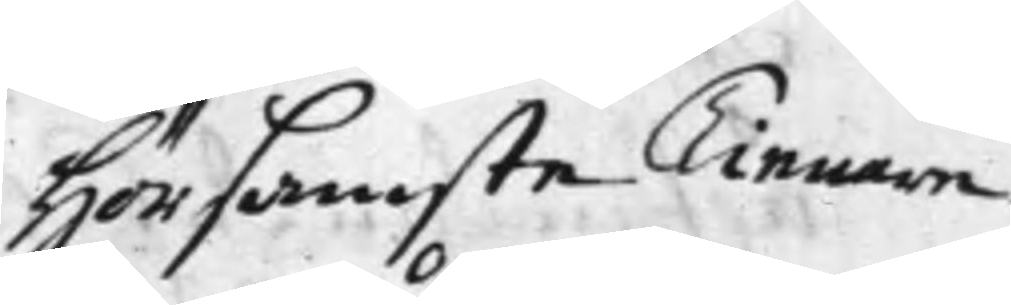Hörsamste Tienare
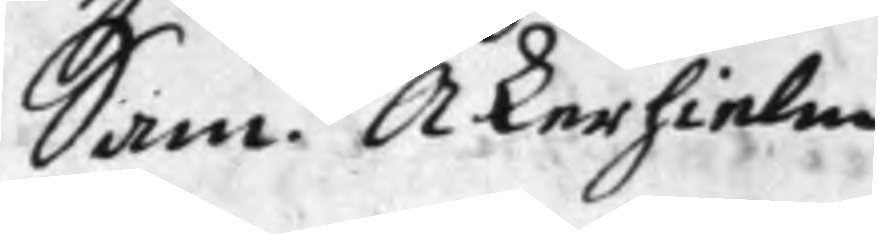Sam. Åkerhielm
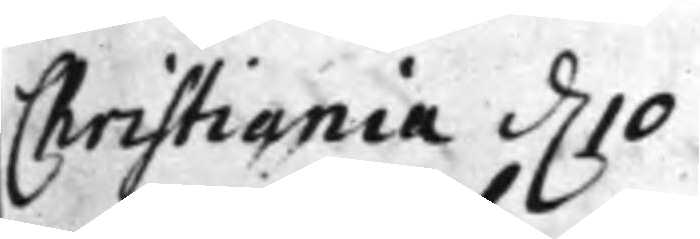Christiania d. 10
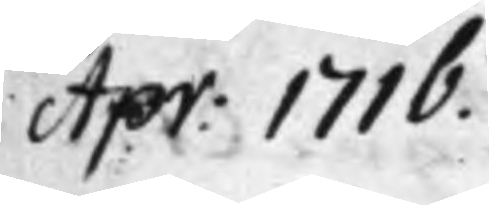Apr: 1716.
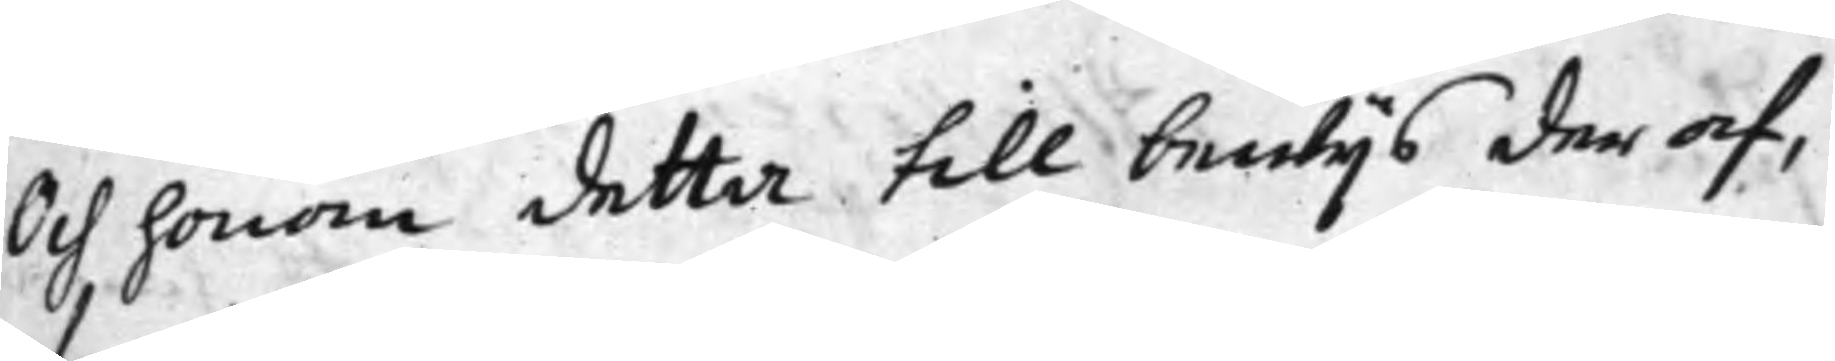Och honom detta till bewijs der af,
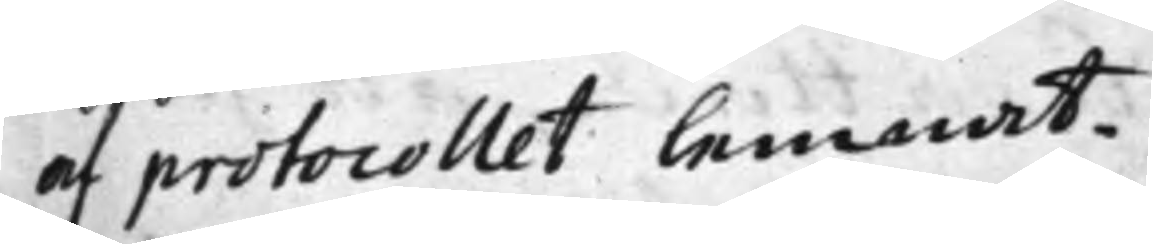af protocollet lemnat.
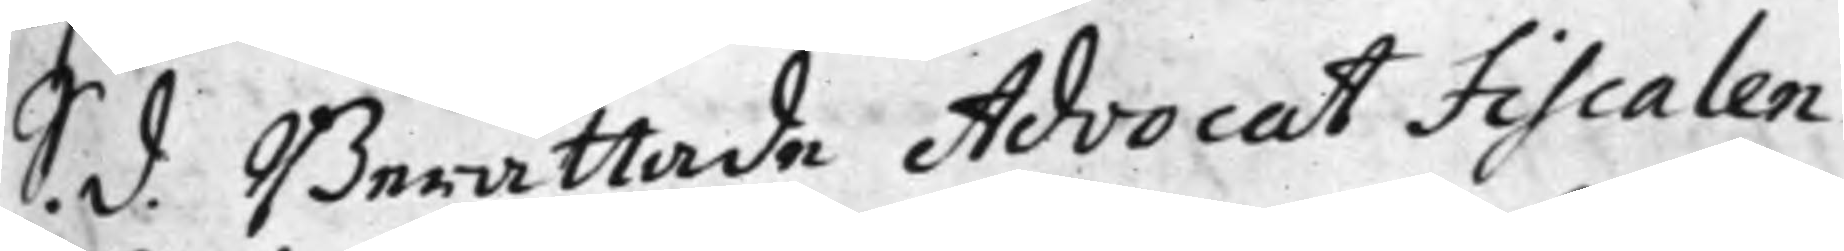S. d. Berättade Advocat Fiscalen
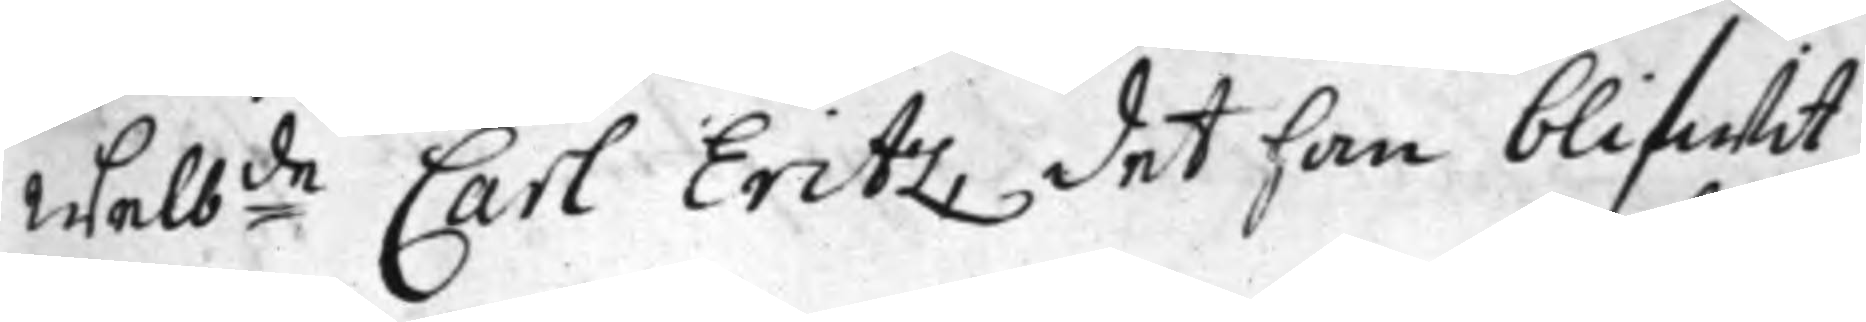Welb:de Carl Eritz, det han blifwit
